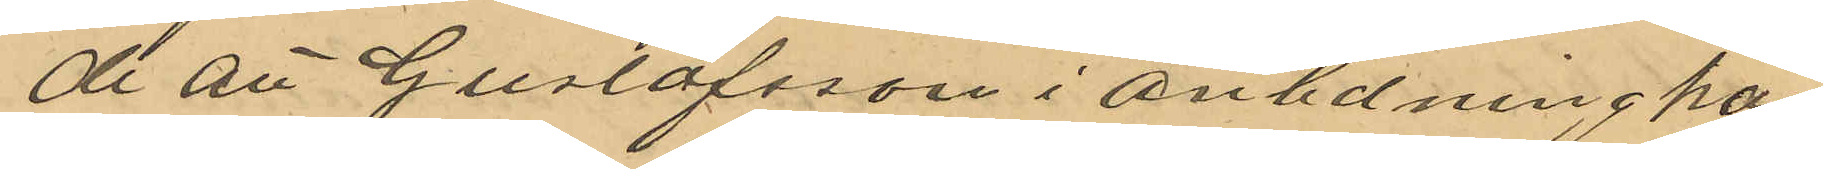de att Gustafsson i anldning här
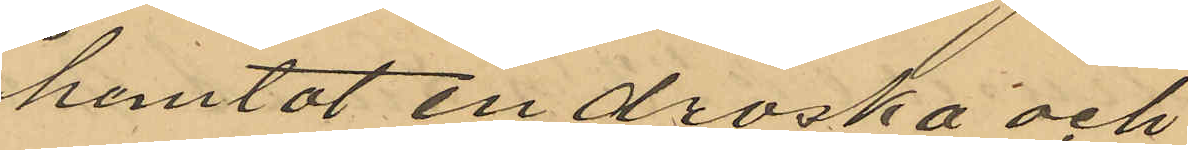hemtat en droska och
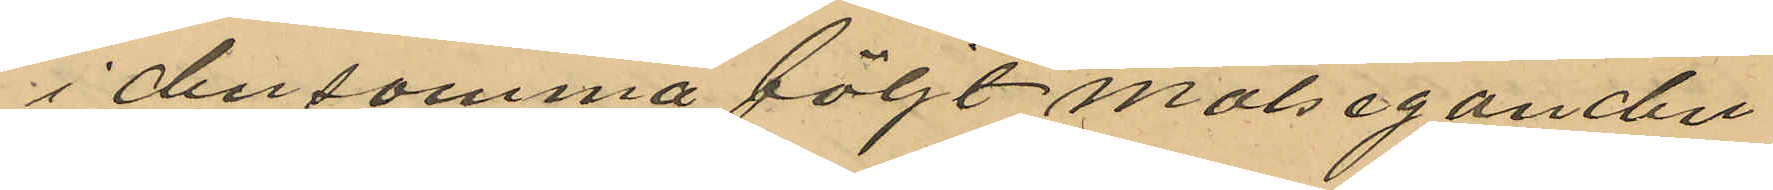i densamma följt målseganden
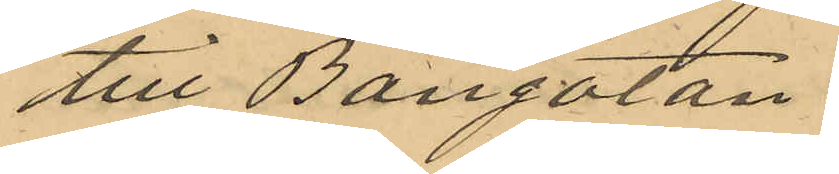till Bangatan.
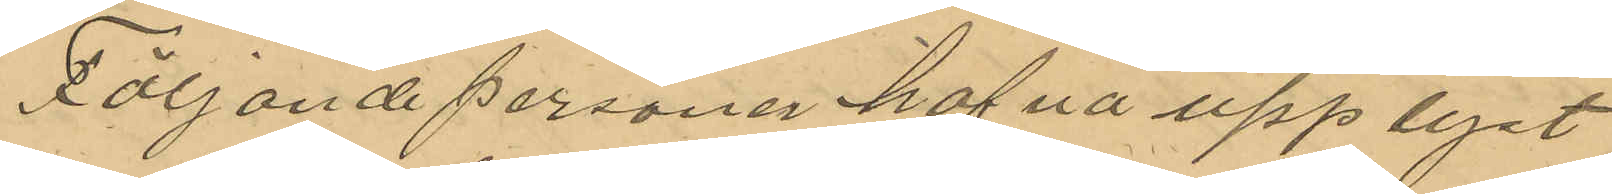Följande personer hafva upplyst
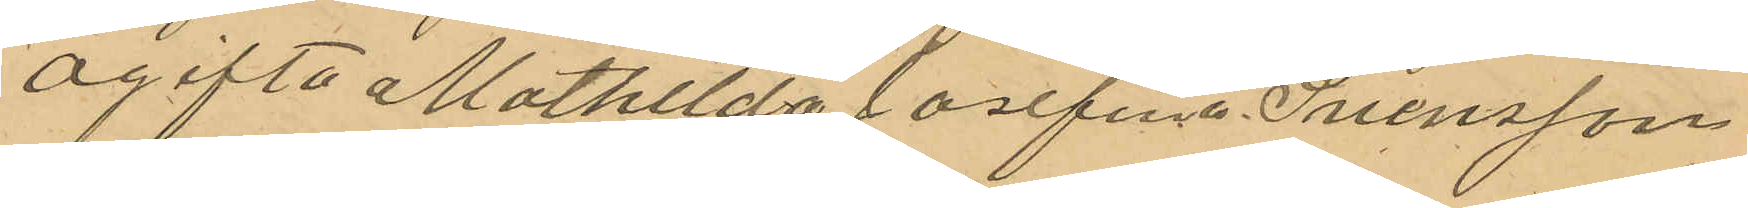ogifta Mathilda Josefina Svensson
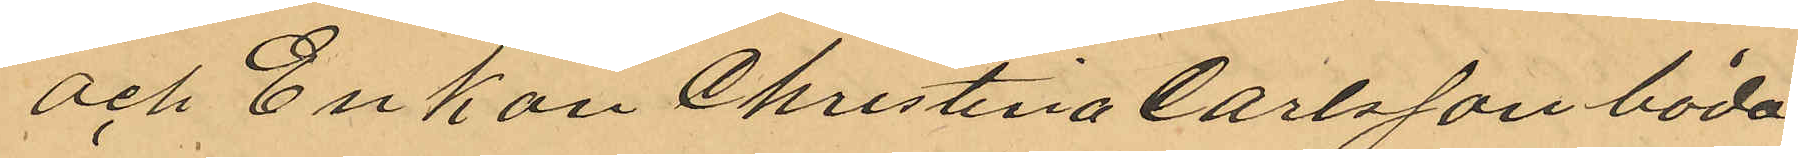och Enkan Christina Carlsson båda
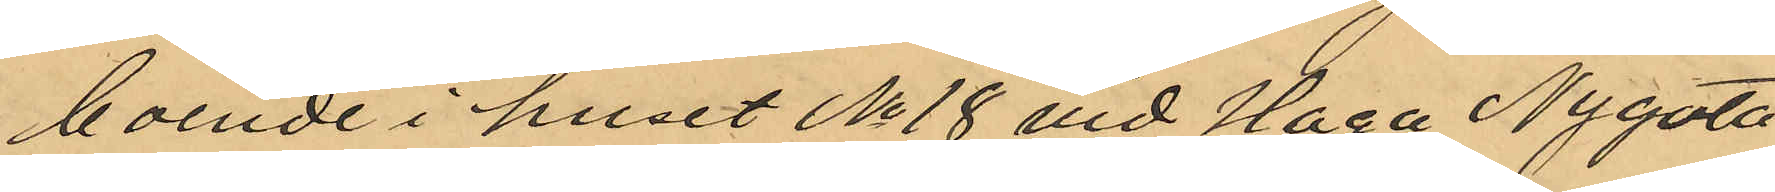boende i huset No 18 vid Haga Nygata
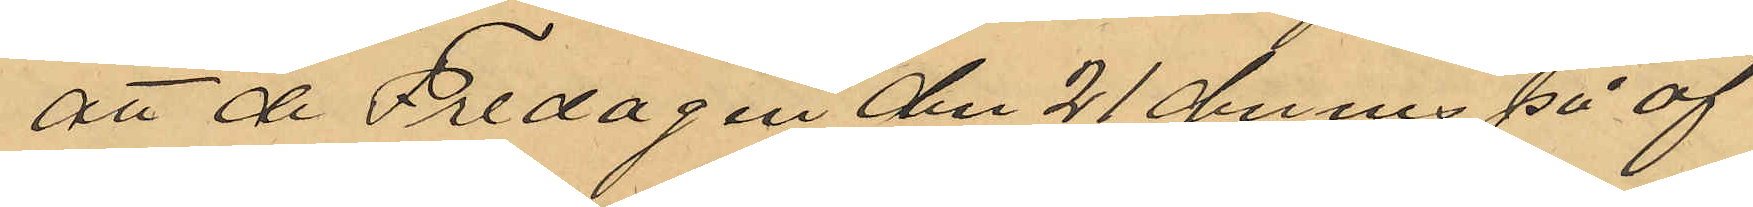att de Fredagen den 21 dennes på af
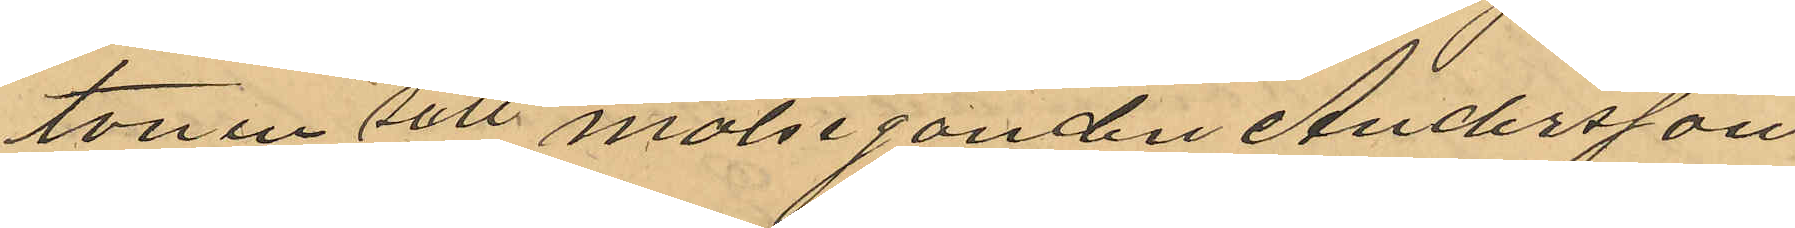tonen till målseganden Andersson
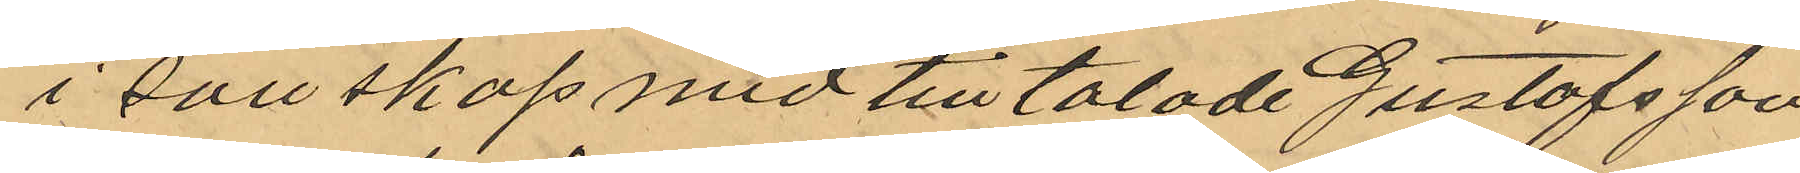i sällskap med tilltalade Gustafsson
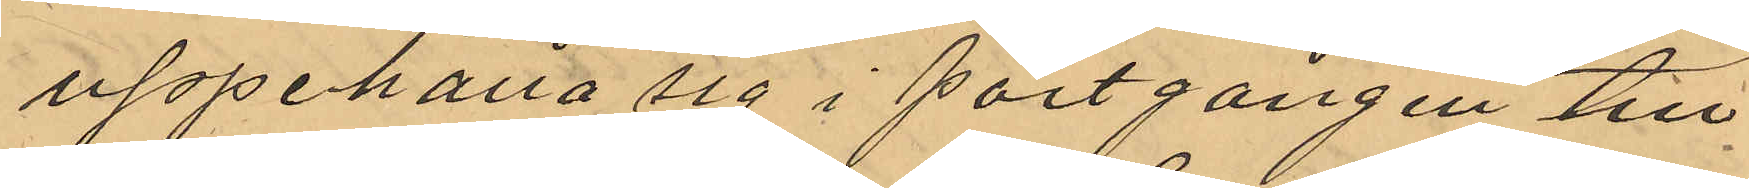uppehålla sig i portgången till 
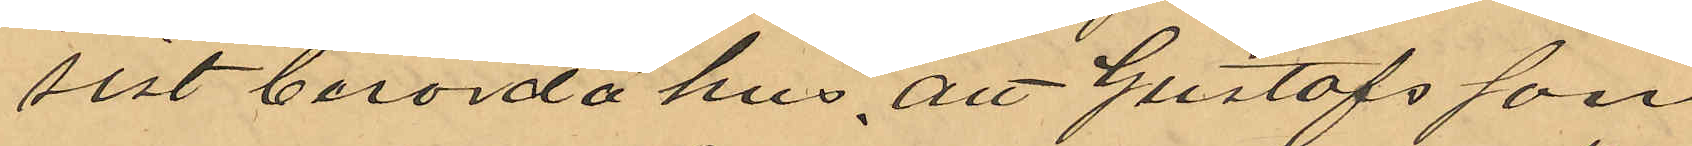sist berörda hus, att Gustafsson
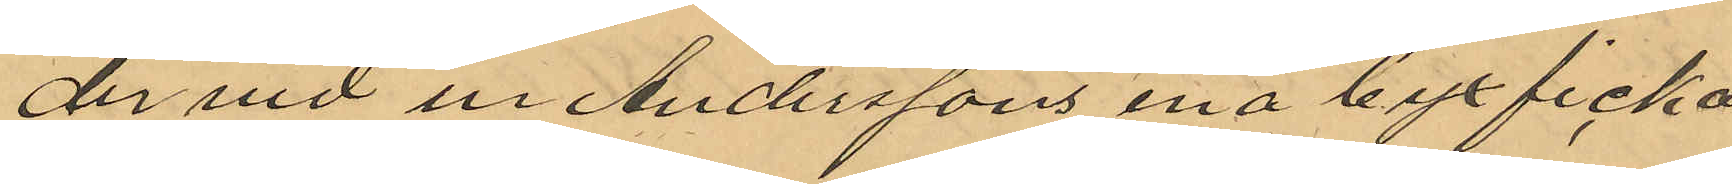dervid ur Anderssons ena byxficka
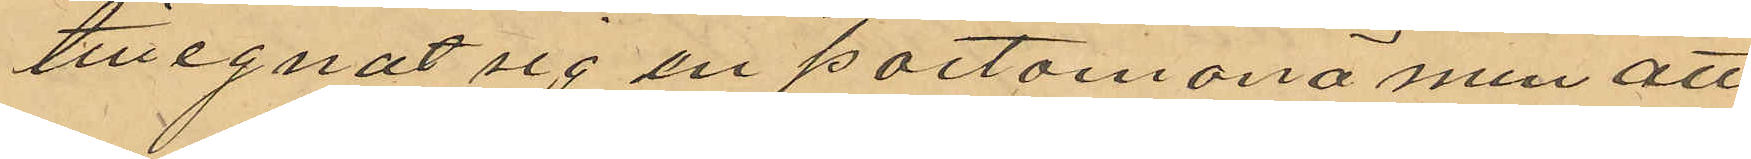tillegnat sig en portomonä men att
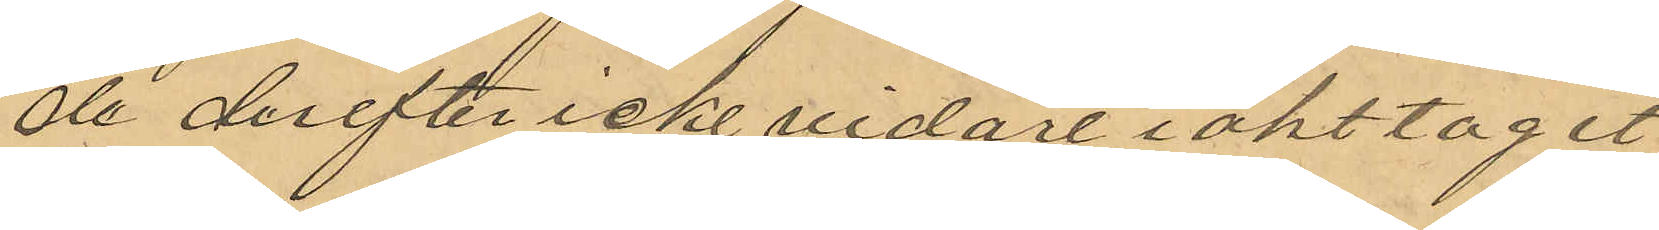de derefter icke vidare iakttagit
